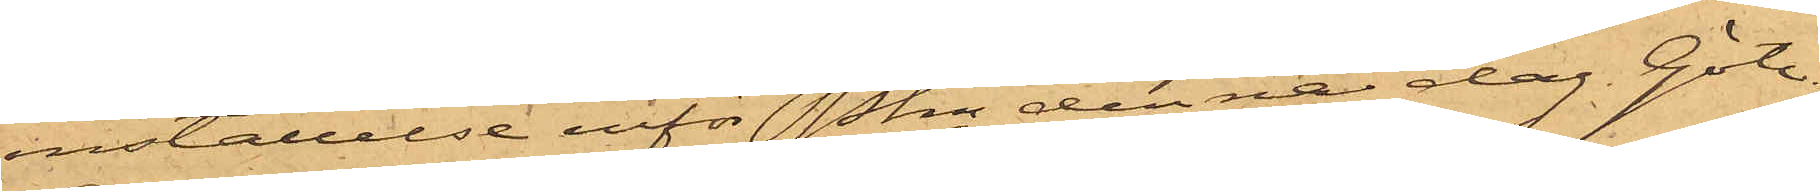inställelse inför Pkn denna dag. Göte¬
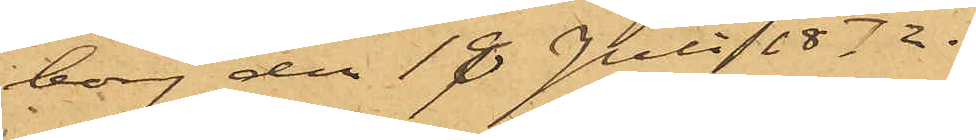borg den 18 Juli 1872.
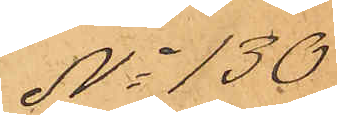No 130
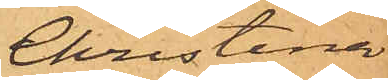Christina
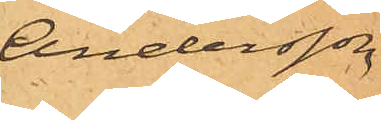Andersson
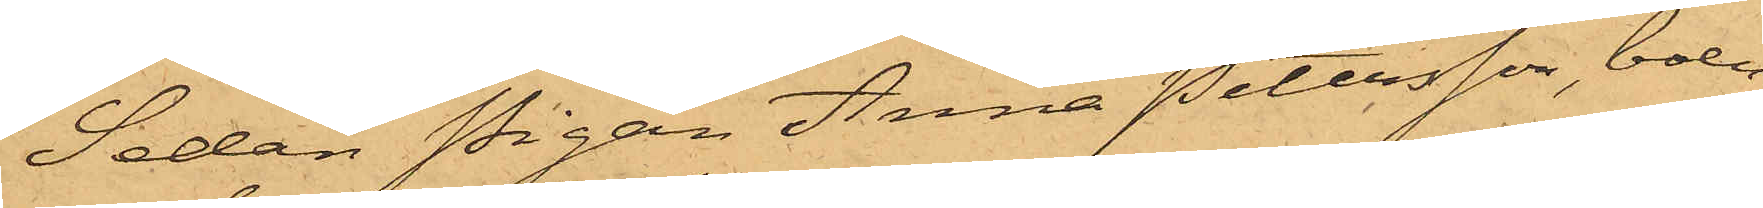Sedan Pigan Anna Petersson, boen¬
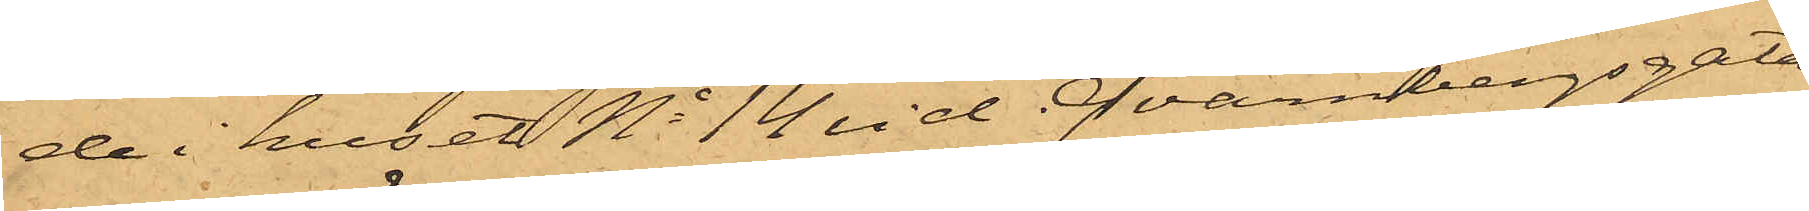de i huset No 14 vid Qvarnbergsgatan,
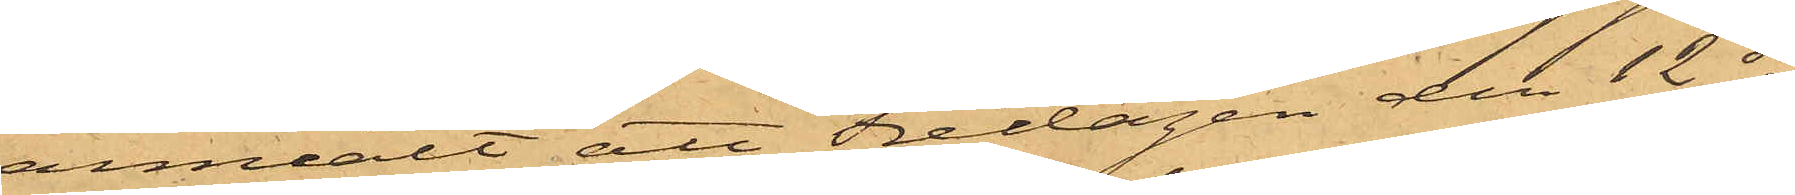anmält att Fredagen den 12 ds
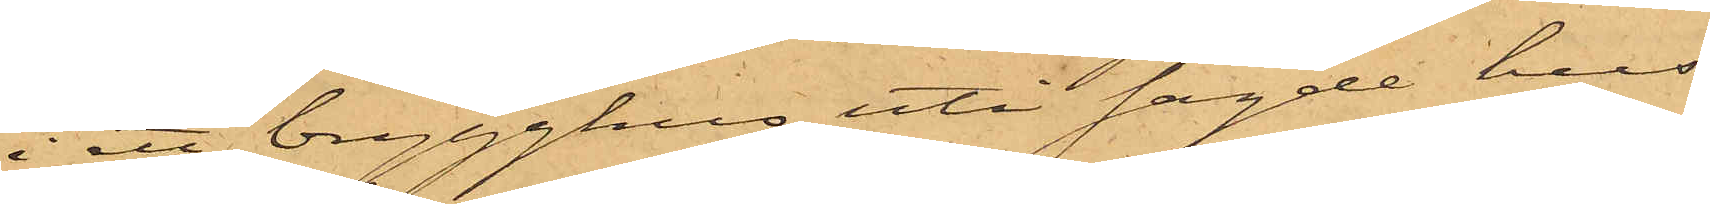i ett brygghus uti sagde hus
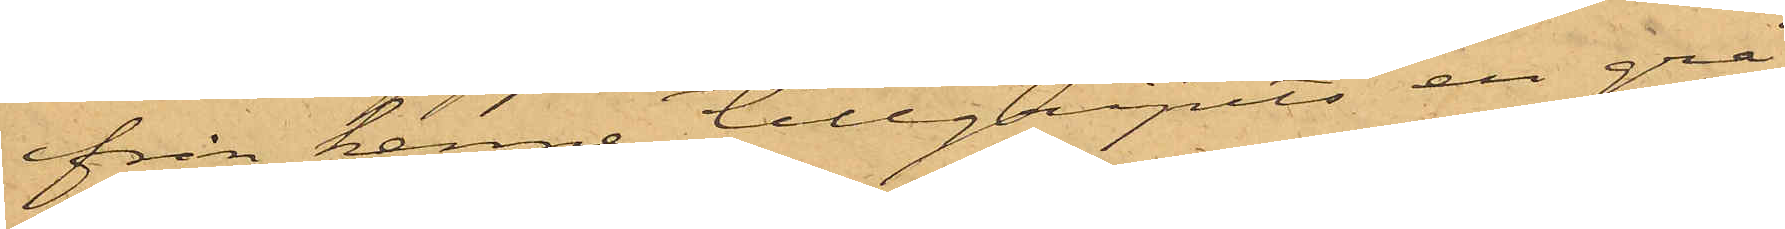från henne tillgripits en grå
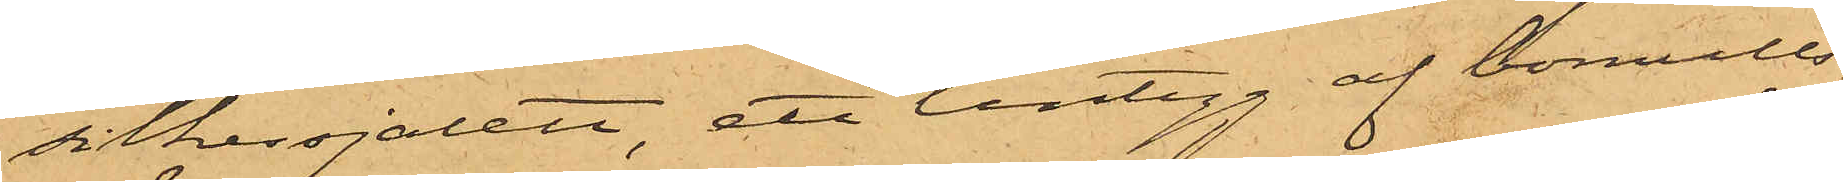silkessjalett, ett lintyg af bomulls¬
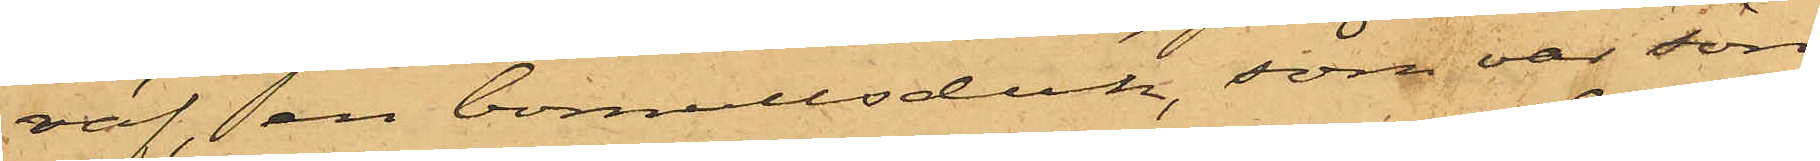väf, en bomullsduk, som var sön¬
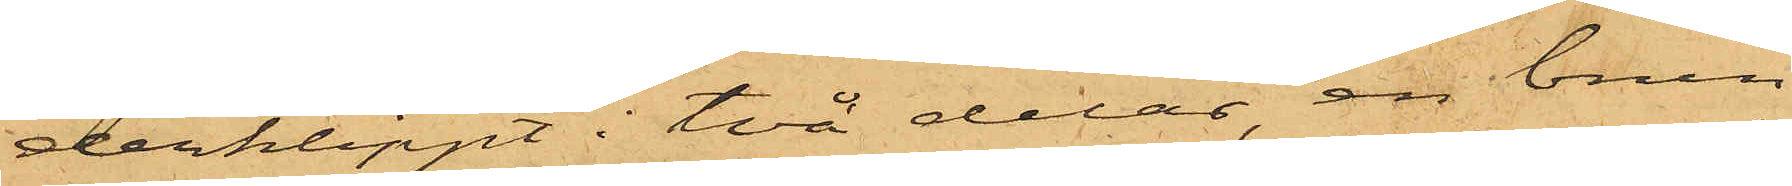derklippt i två delar, en brun
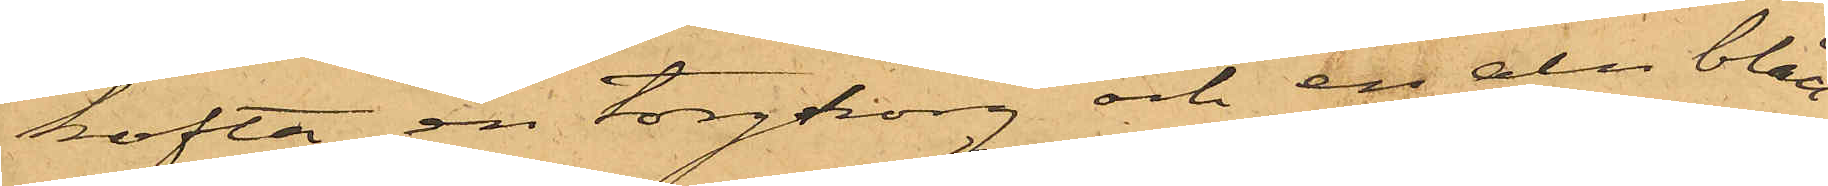kofta, en torgkorg och en aln blått
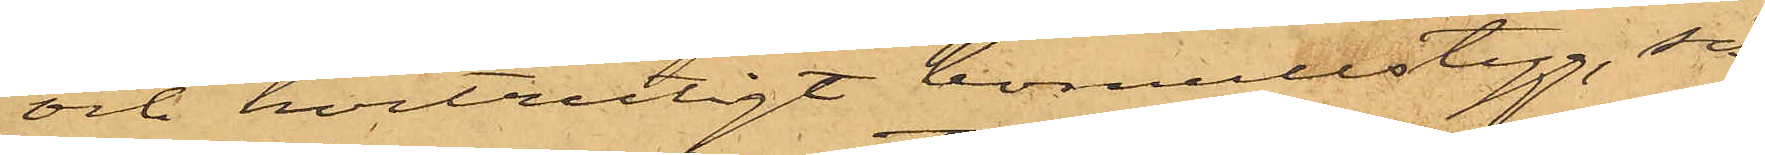och hvitrutigt bomullstyg, så
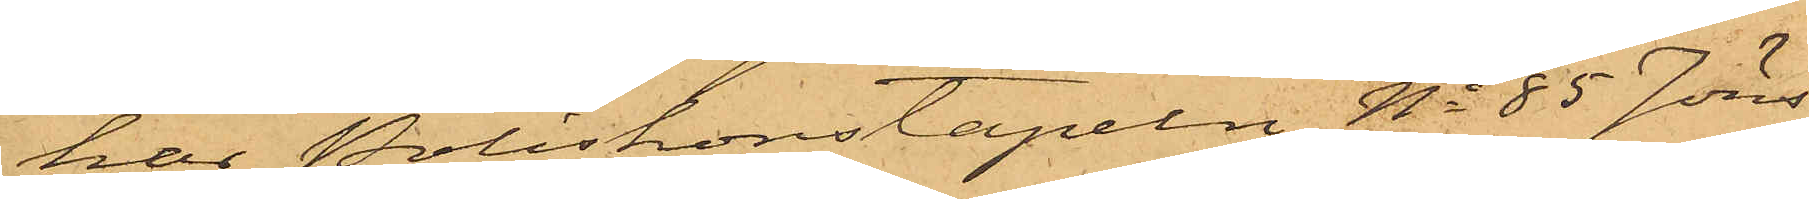har Poliskonstapeln No 85 Jöns¬
